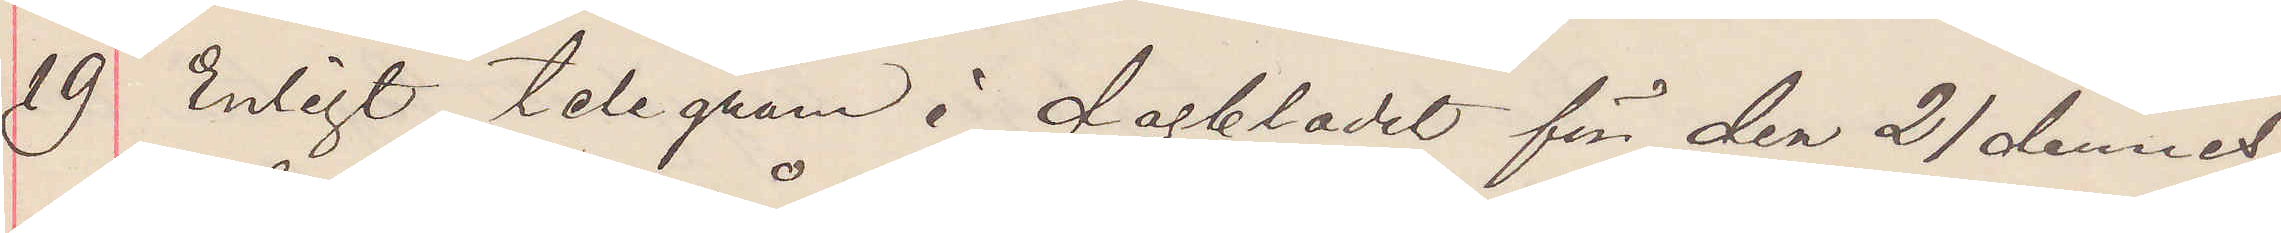19 Enligt telegram i dagbladet för den 21 dennes
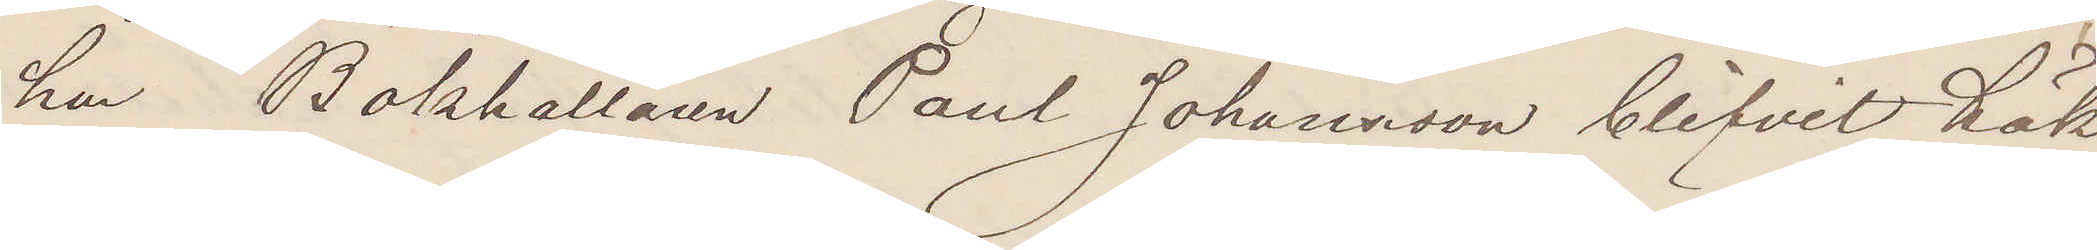har Bokhållaren Paul Johansson blifvit häk¬
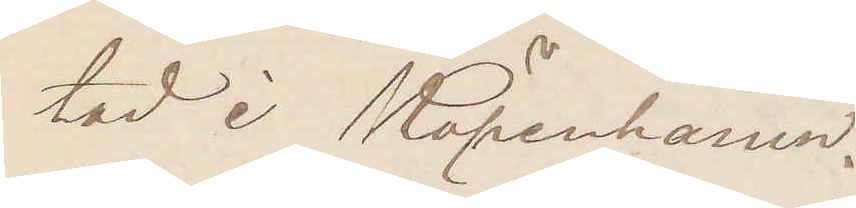tad i Köpenhamn.
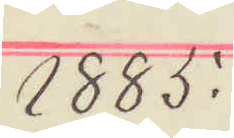1885.
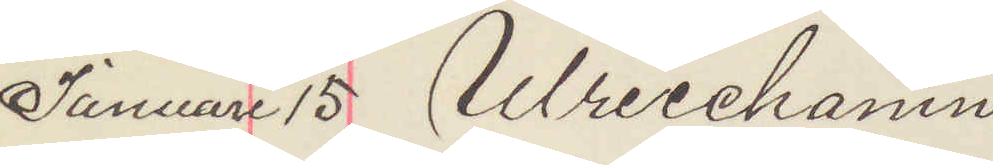Januari 15 Ulricehamn
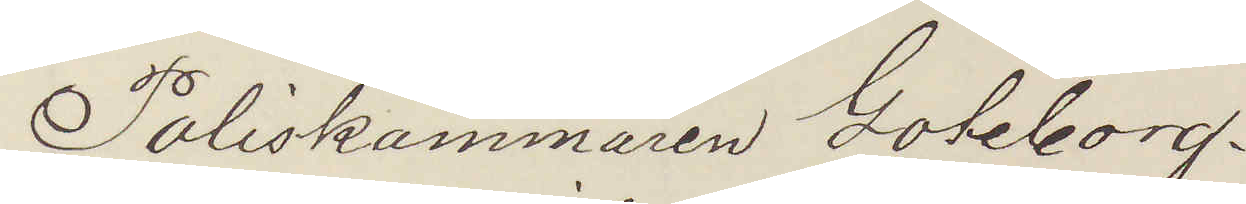Poliskammaren Göteborg.
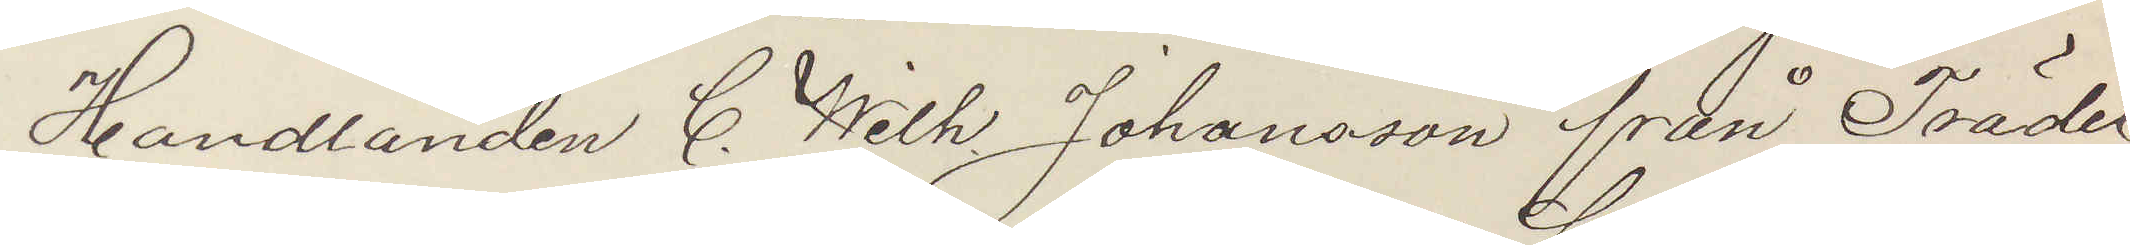Handlanden C. Wilh. Johansson från Trädet,
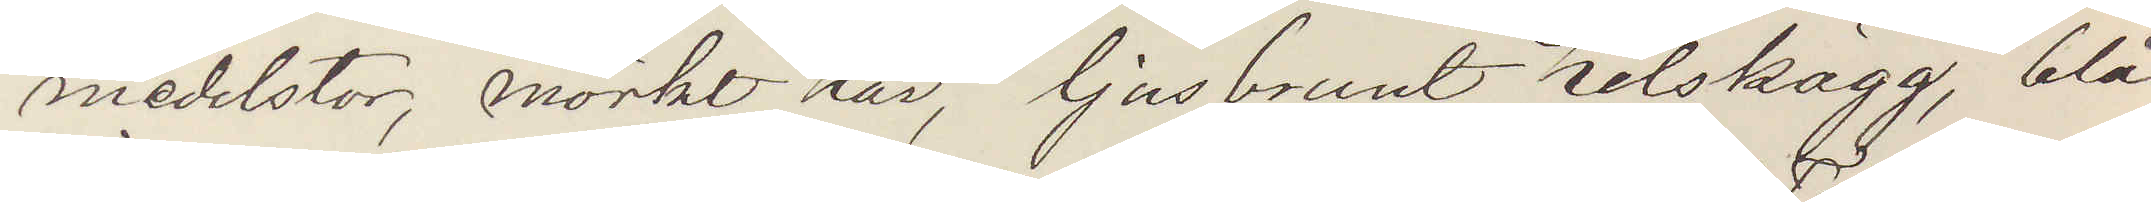medelstor, mörkt hår, ljusbrunt helskägg, blå
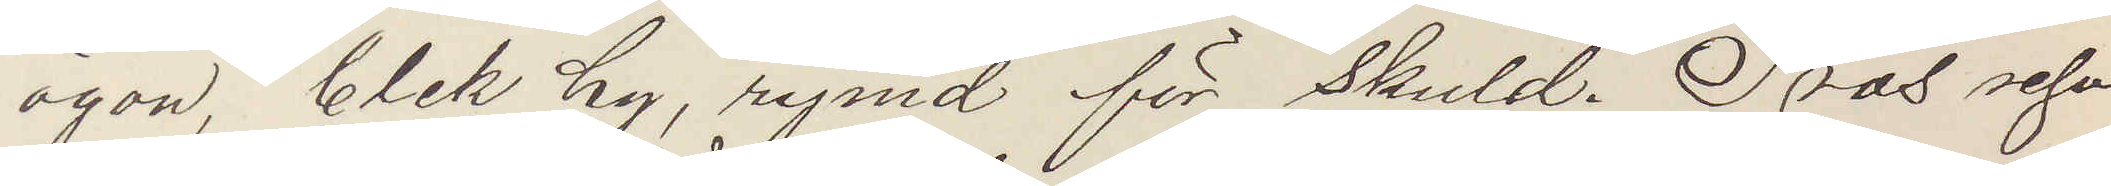ögon, blek hy, rymd för skuld. Tros resa
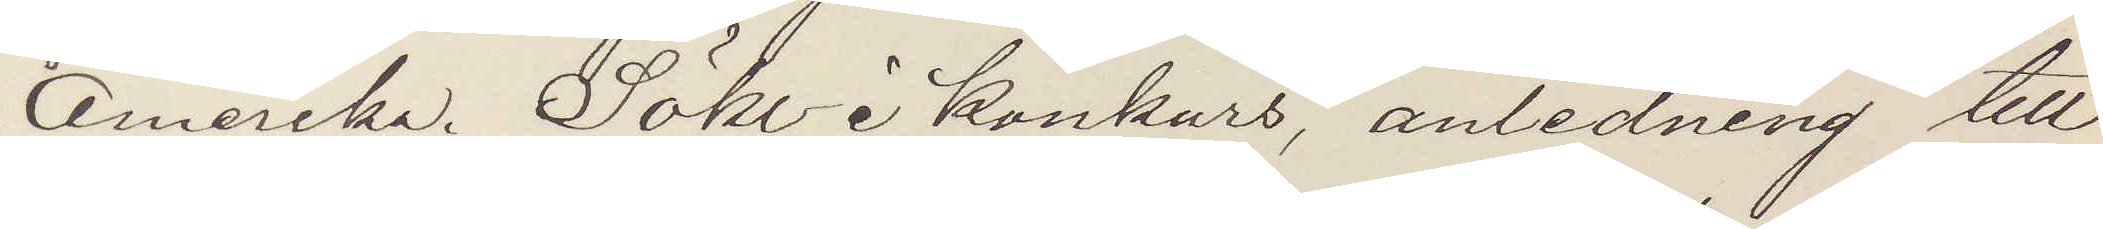Amerika. Söks i konkurs, anledning till
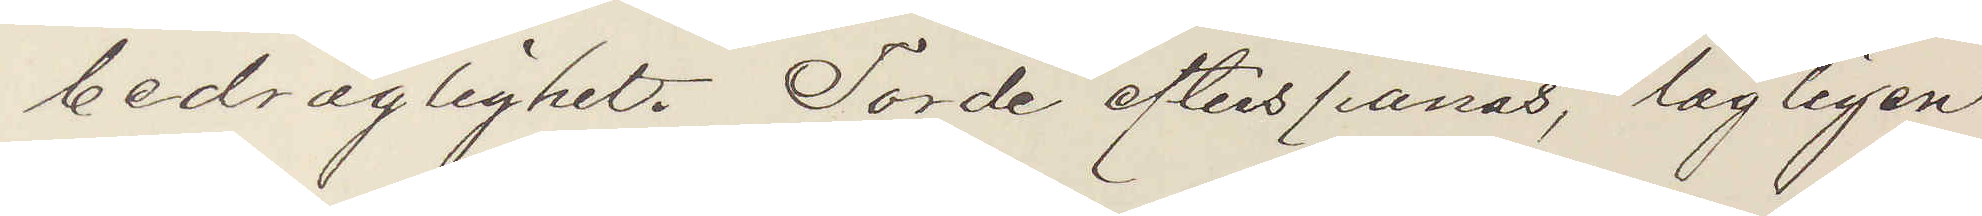bedräglighet. Torde efterspanas, lagligen
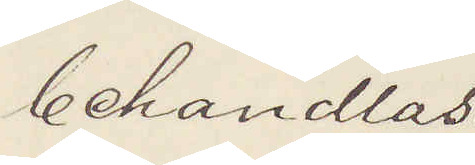behandlas.
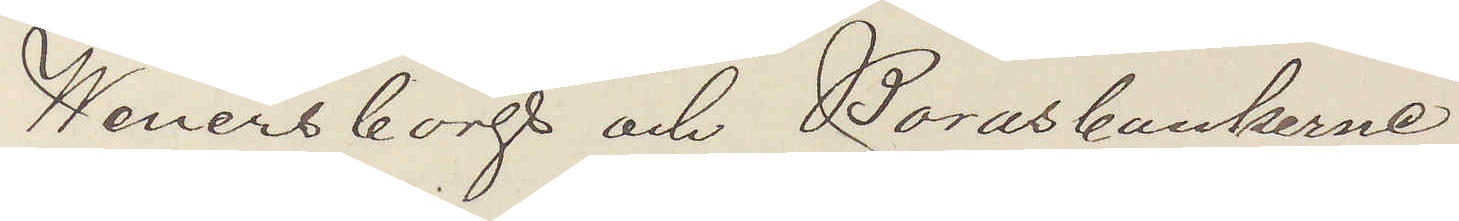Wenersborgs och Boråsbankerne
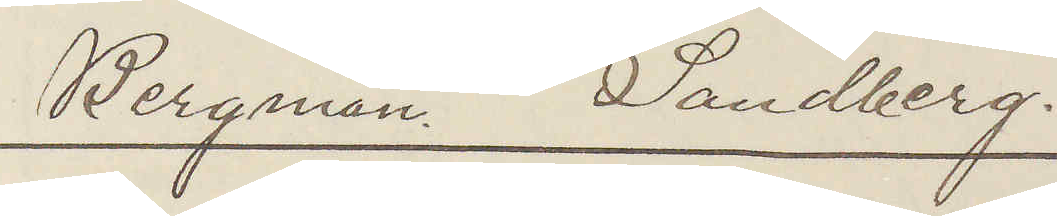Bergman. Sandberg.
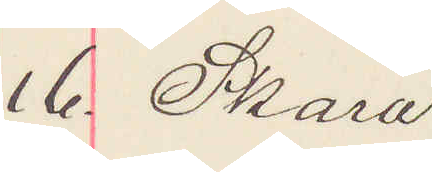16. Skara.
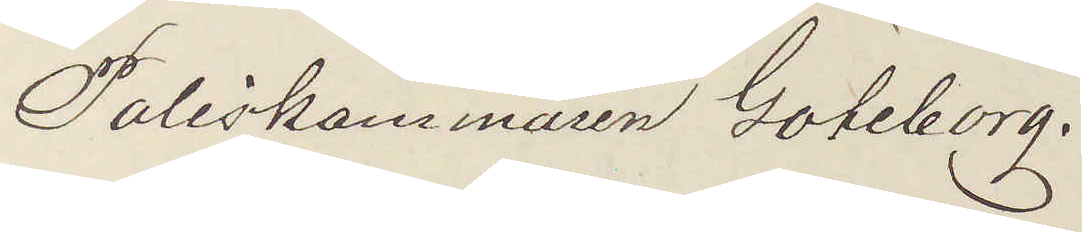Poliskammaren Göteborg.
